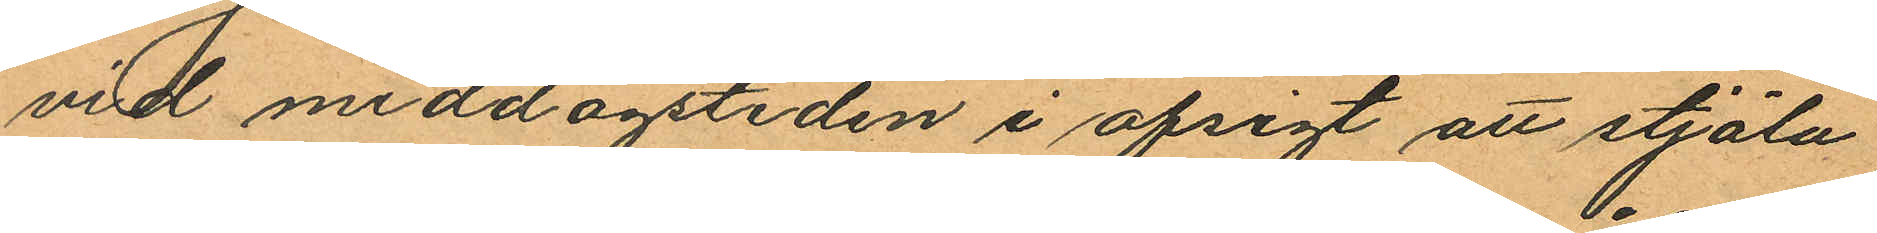vid middagstiden i afsigt att stjäla
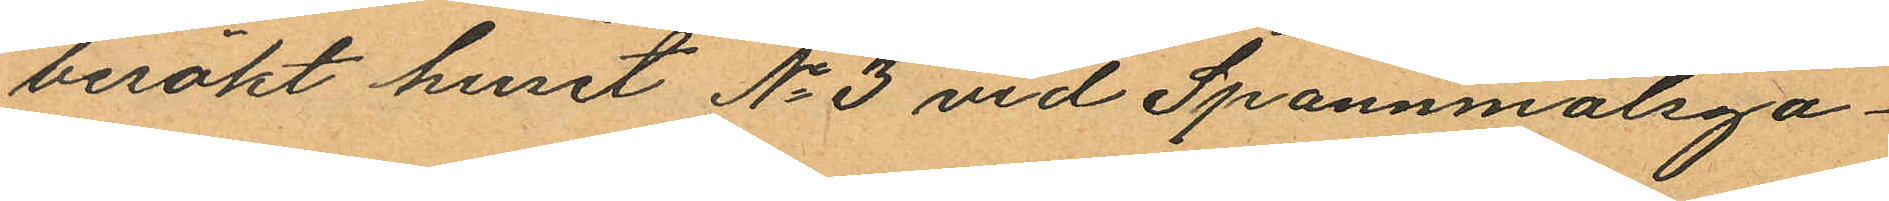besökt huset No 3 vid Spannmålsga¬
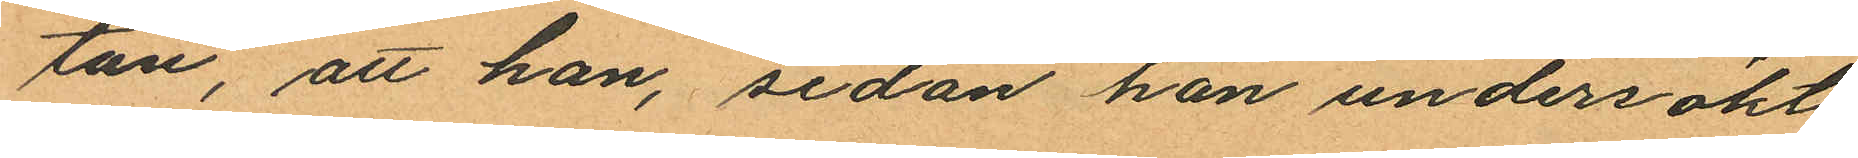tan, att han, sedan han undersökt
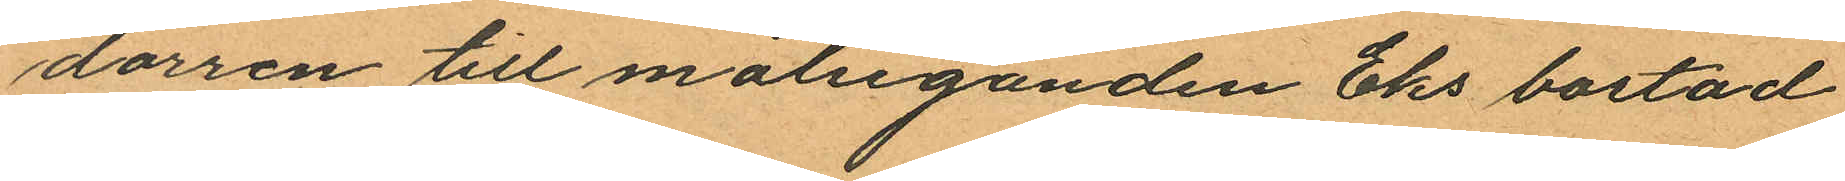dörren till målseganden Eks bostad
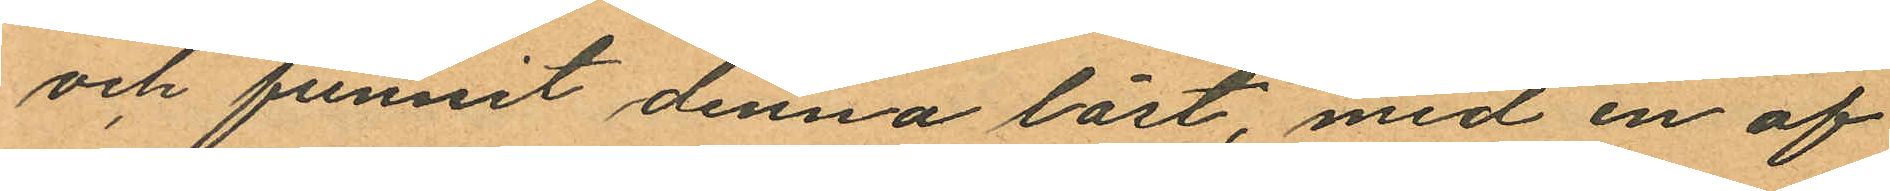och funnit denna låst, med en af
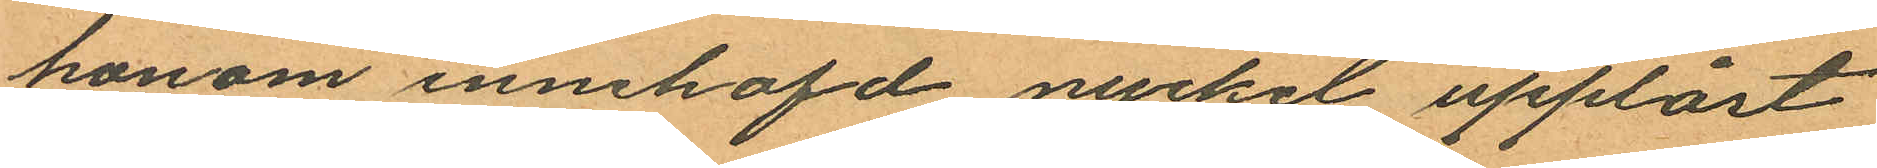honom innehafd nyckel upplåst
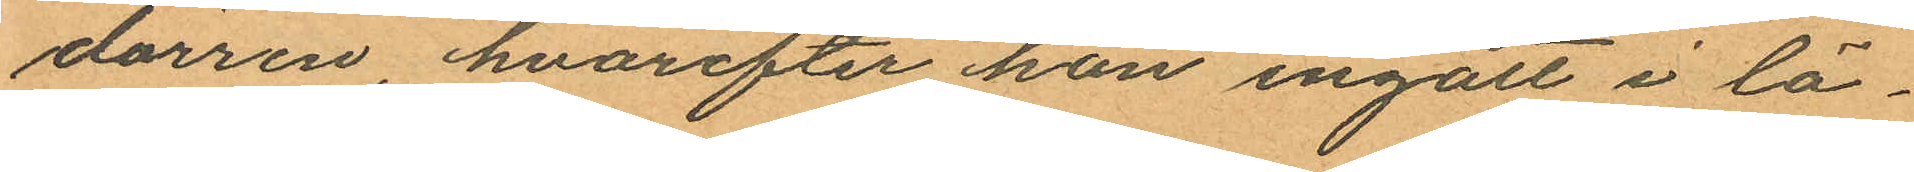dörren, hvarefter han ingått i lä¬
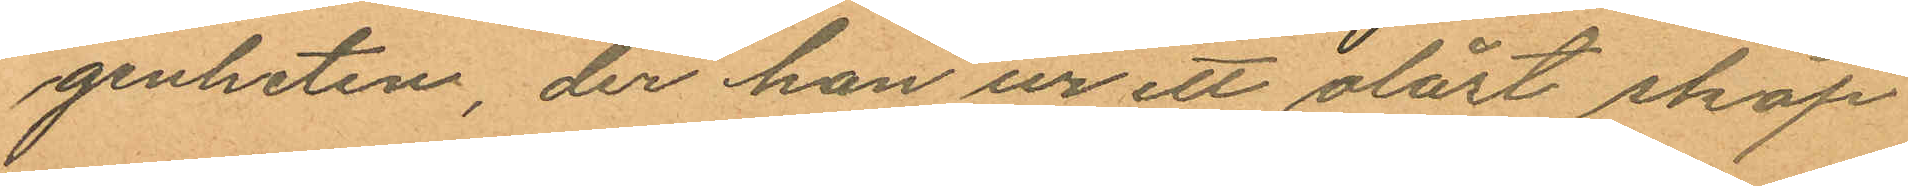genheten, der han ur ett olåst skåp
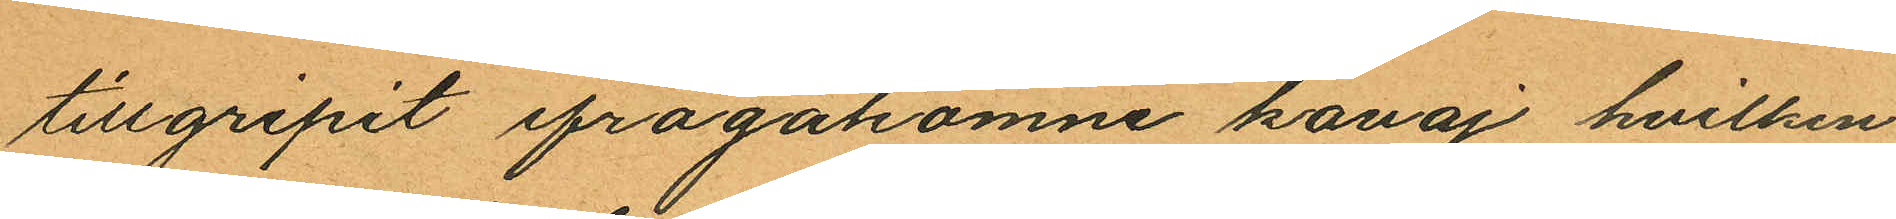tillgripit ifrågakomne kavaj hvilken
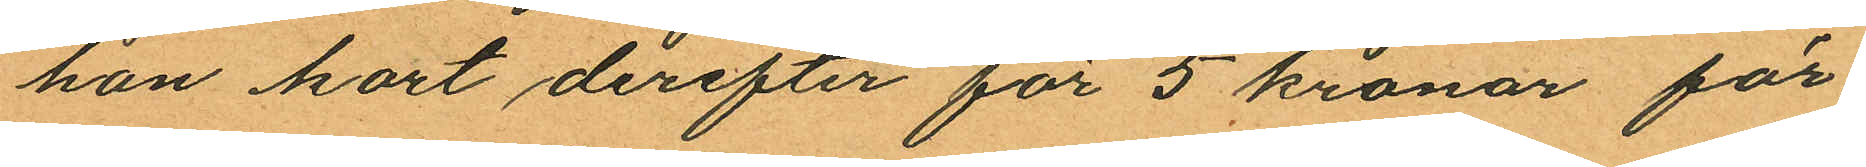han kort derefter för 5 kronor för¬
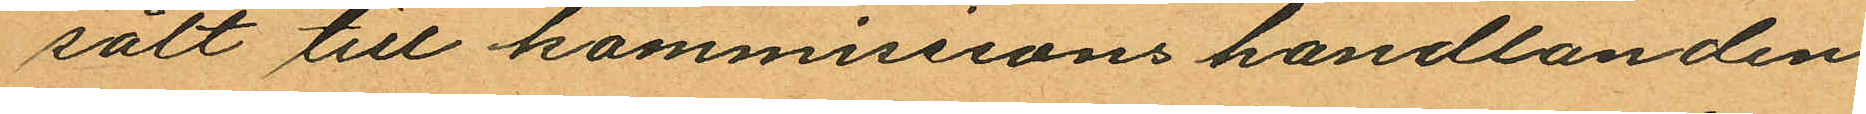sålt till kommissions handlanden
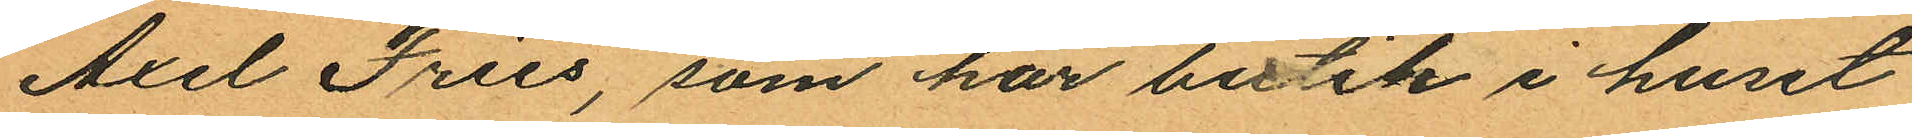Axel Fries, som har butik i huset
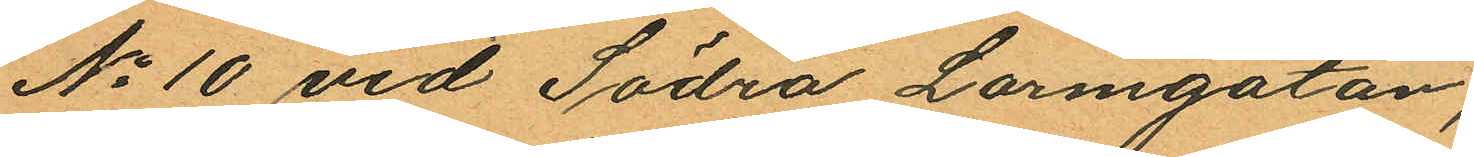No 10 vid Södra Larmgatan;
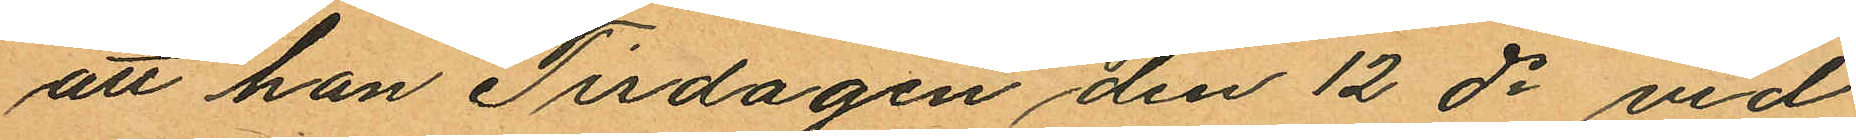att han Tisdagen den 12 ds vid
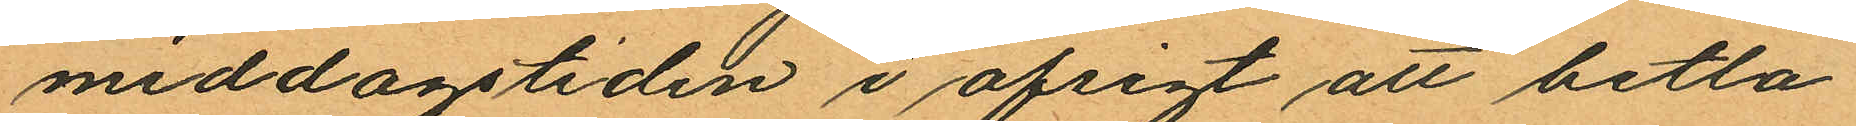middagstiden i afsigt att betla
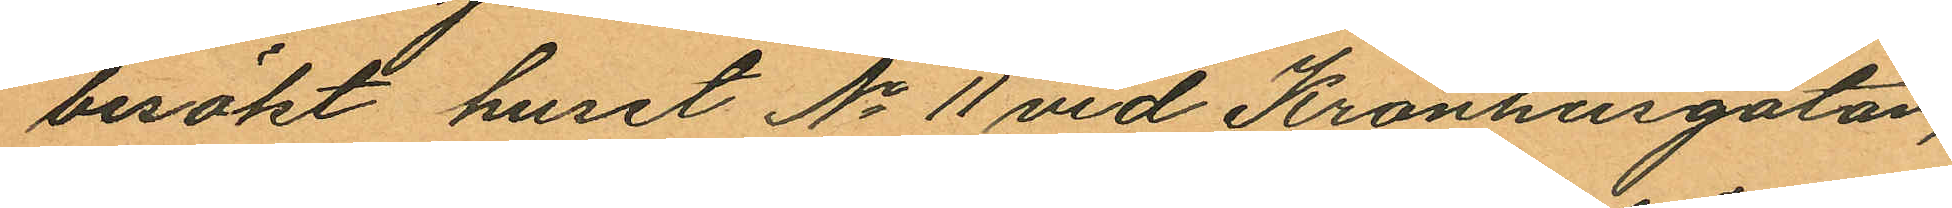besökt huset No 11 vid Kronhusgatan,
